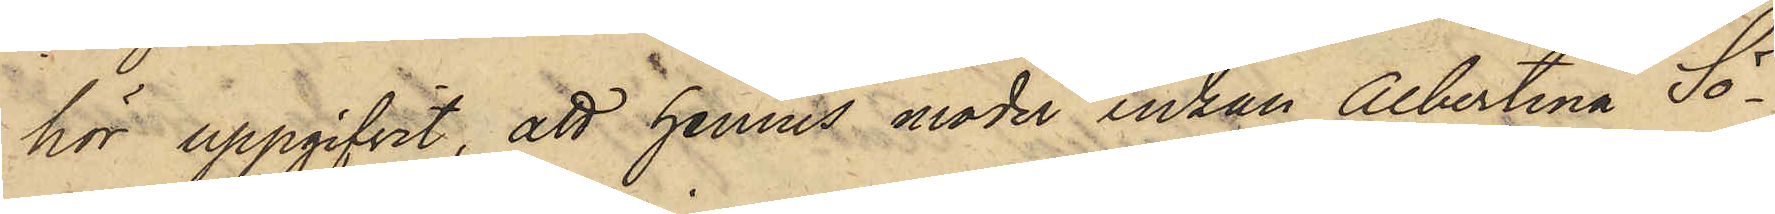hör uppgifvit, att hennes moder Enkan Albertina Sö¬
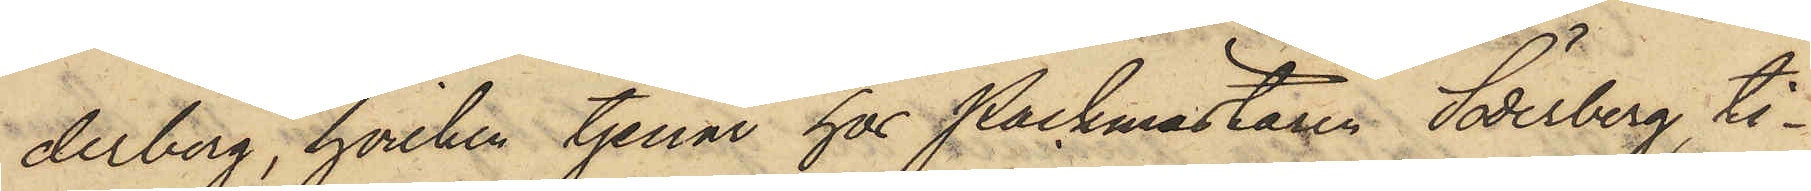derberg, hvilken tjenar hos Packmästaren Söderberg, ti¬
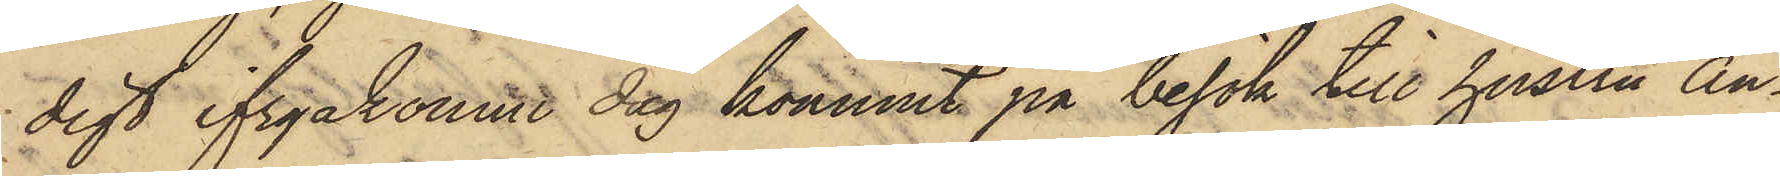digt ifrgakomne dag kommit på besök till hustru An¬
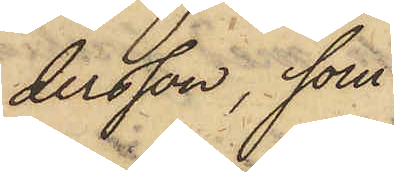dersson, som
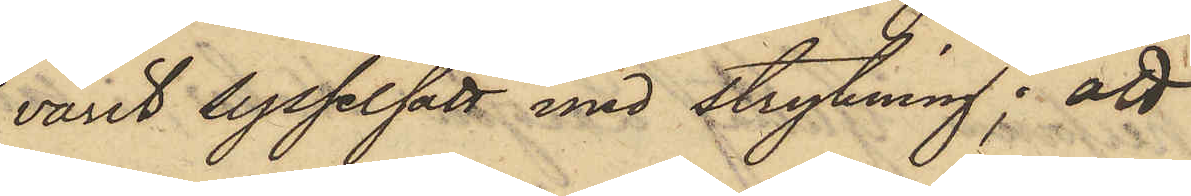varit sysselsatt med strykning; att
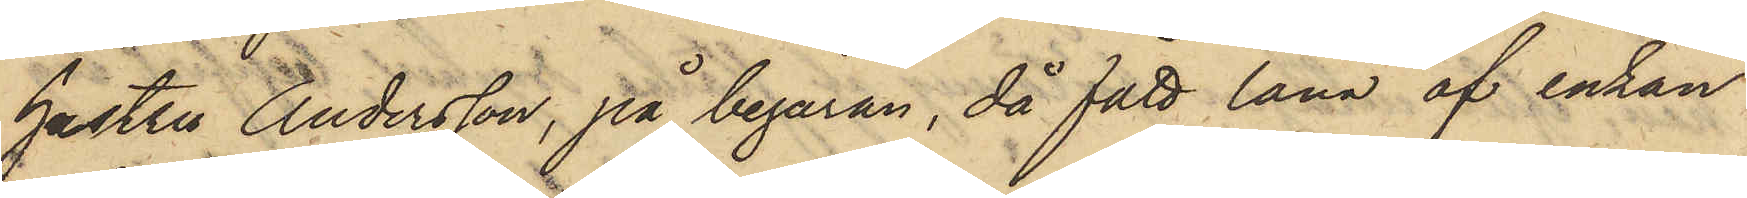hustru Andersson, på begäran, då fått låna af enkan
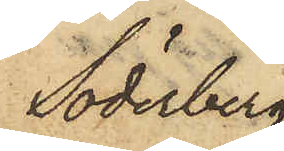Söderberg
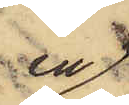en
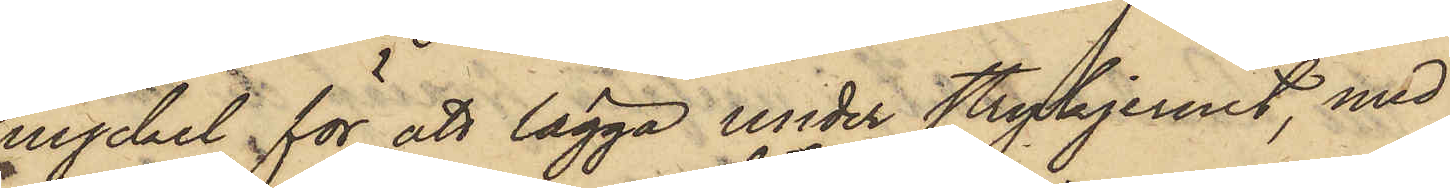nyckel för att lägga under strykjernet, med
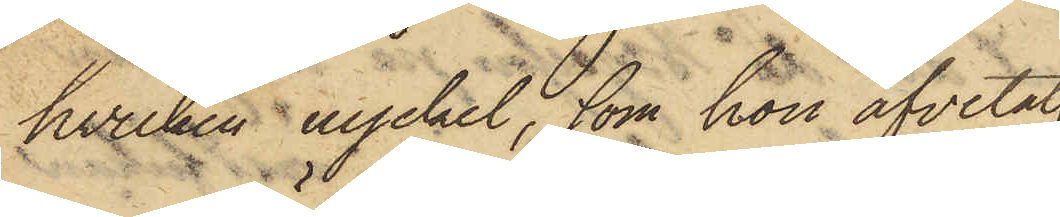hvilken nyckel, som hon afvetat
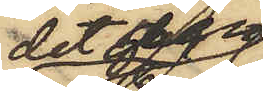det den
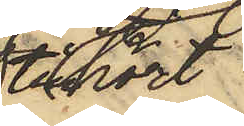tillhört
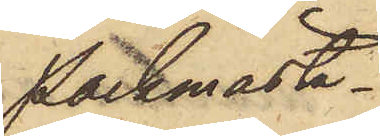Packmästa.¬
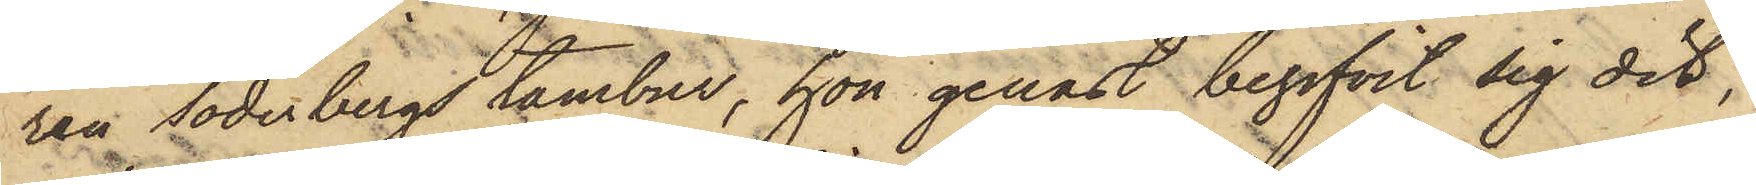ren Söderbergs tambur, hon genast begifvit sig dit,
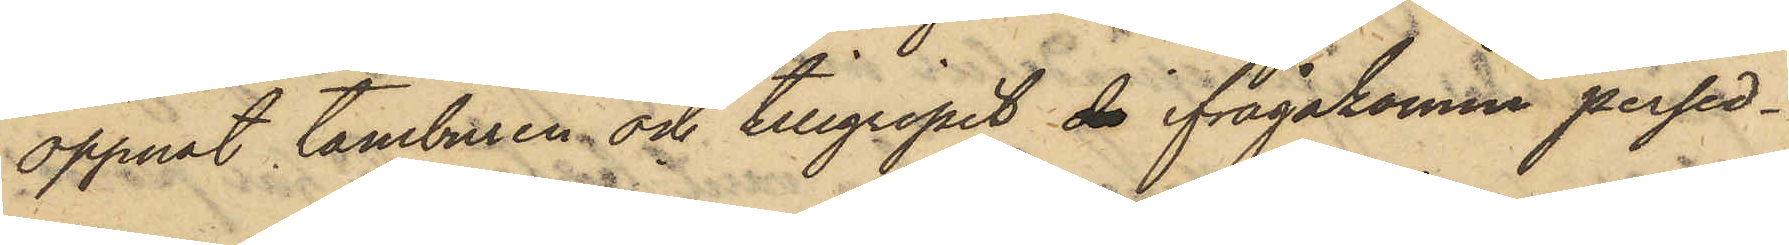öppnat tamburen och tillgripit de ifrågakomne persed¬
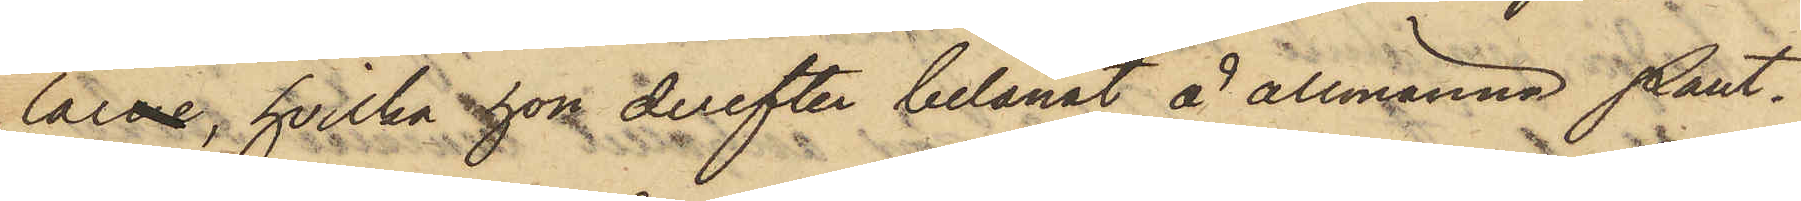larne, hvilka hon derefter belånat å allmänna Pant¬
